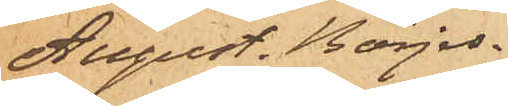August. Börjes¬
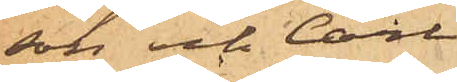son och Carl
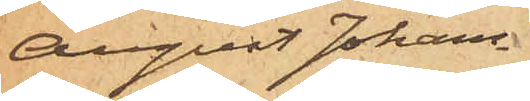August Johans¬
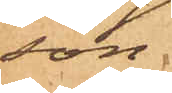son
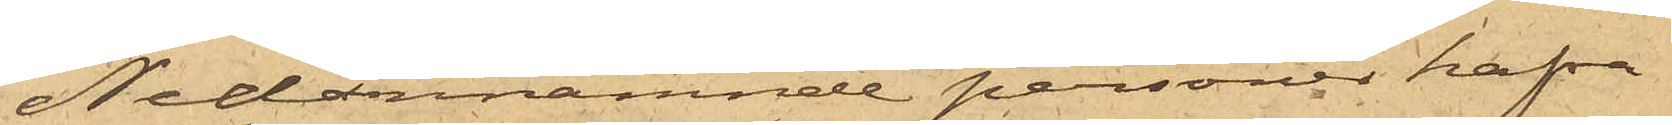Nedannämnde personer hafva
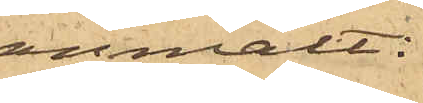anmält:
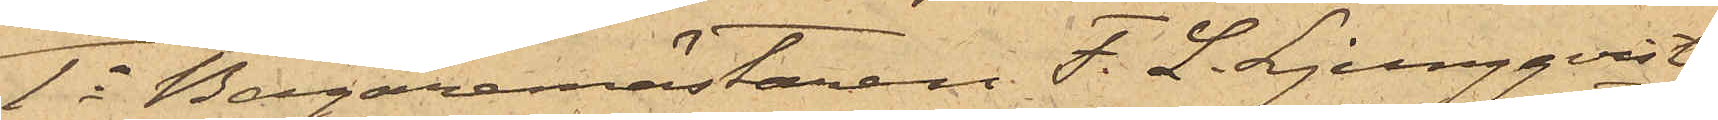1o Bagaremästaren F. L. Ljungqvist,
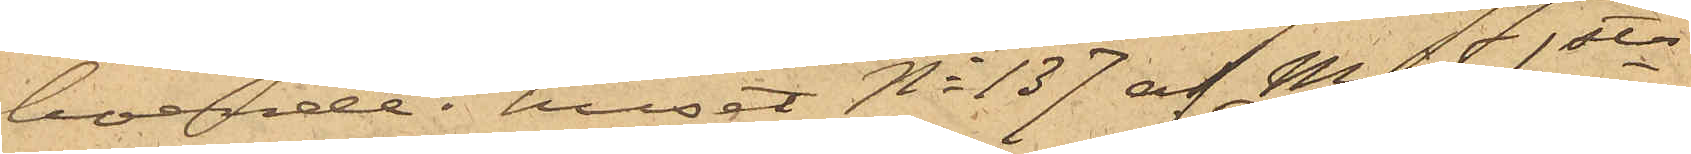boende i huset No 137 af Mjs 1sta
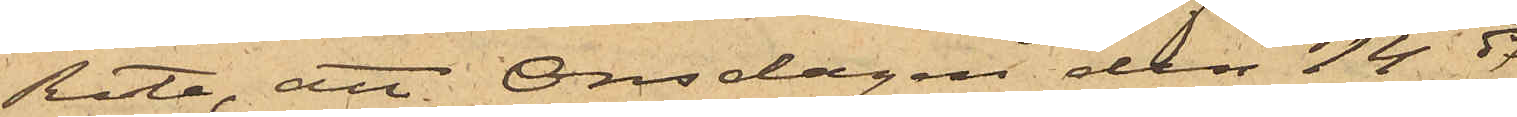Rote, att Onsdagen den 14 ds
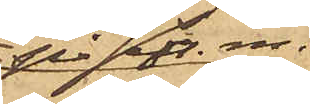på eft. m.
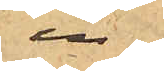in¬
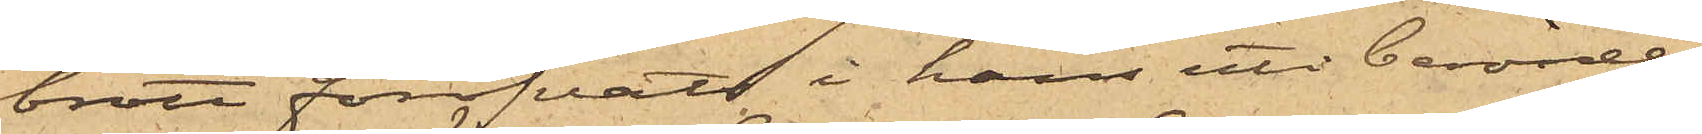brott föröfvats i hans uti berörde
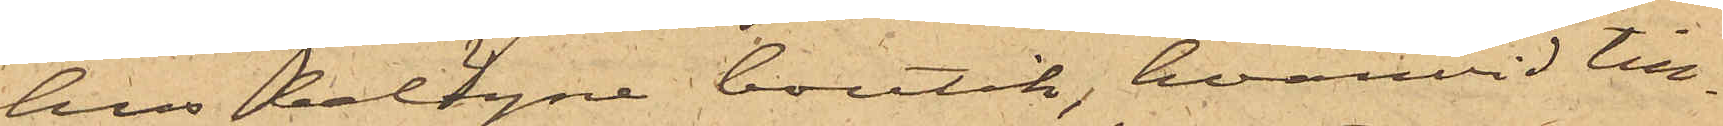hus belägne boutik, hvarvid till¬
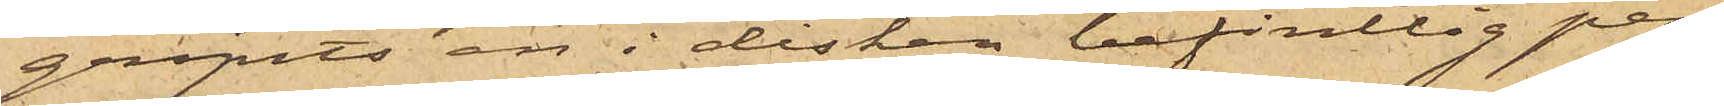gripits en i disken befintlig pen¬
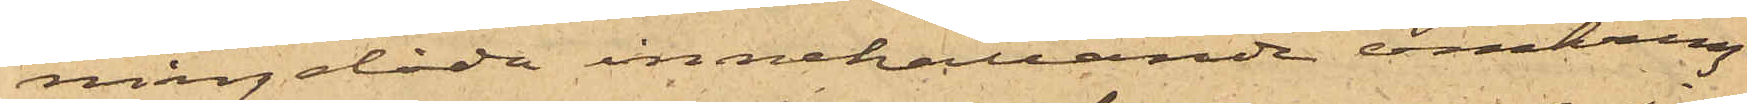ningelåda innehållande omkring
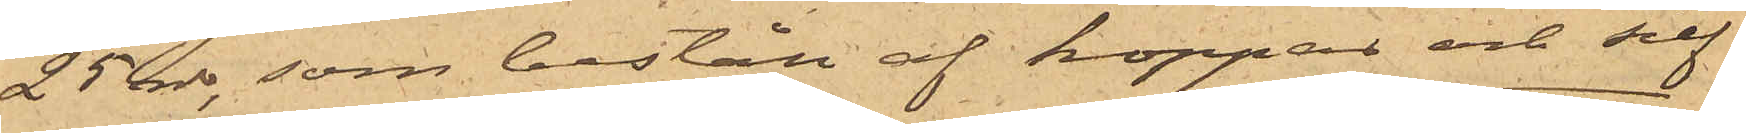25 rdr, som består af koppar och silf¬
